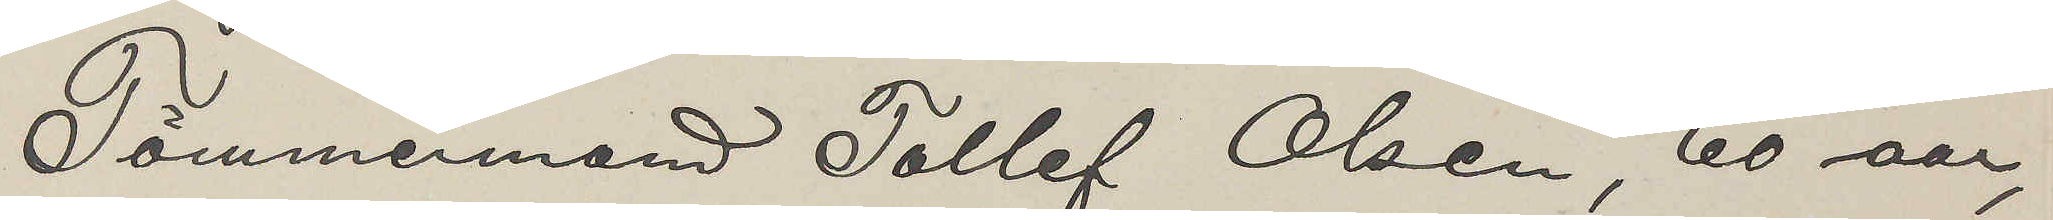Tömmermand Tollef Olsen, 60 aar,
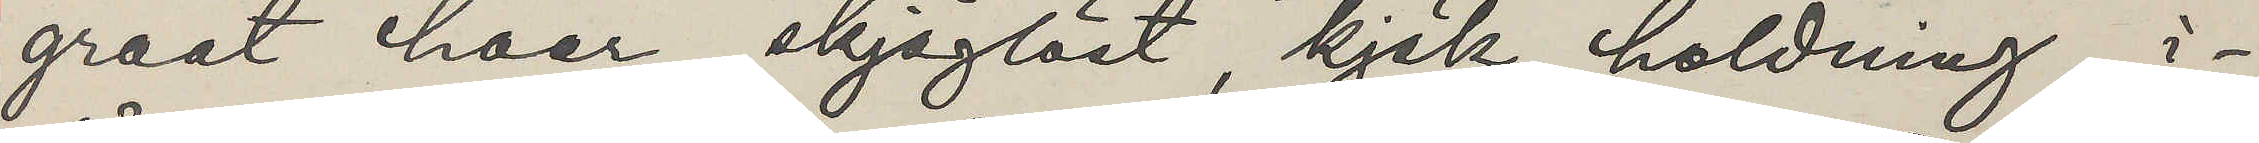graat haar, skjäglöst, kjäk holdning, i¬
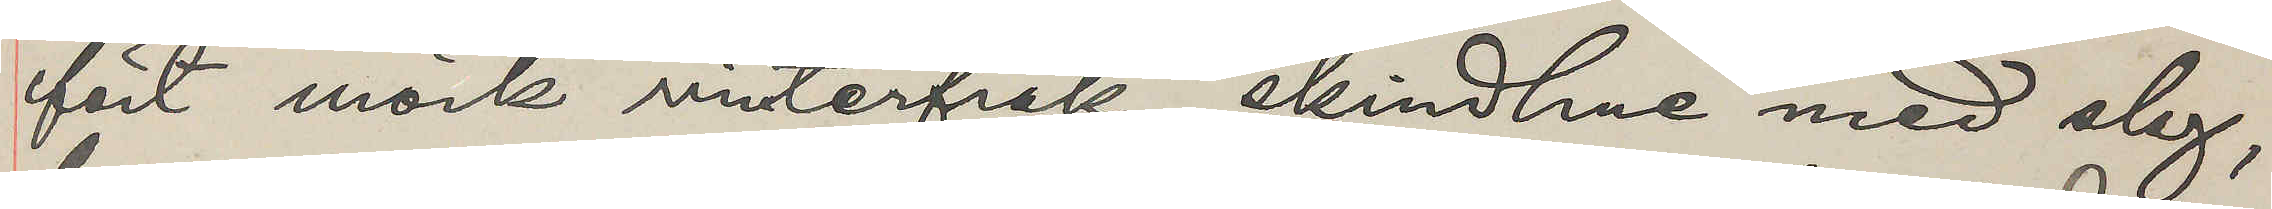fört mörk vinterfrak, skindhue med slag,
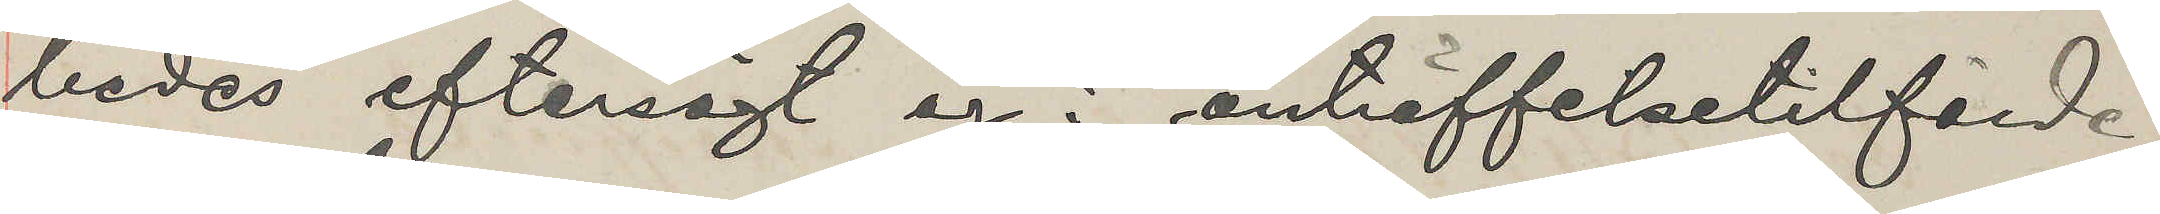bedes eftersögt og i anträffelsetilfälde
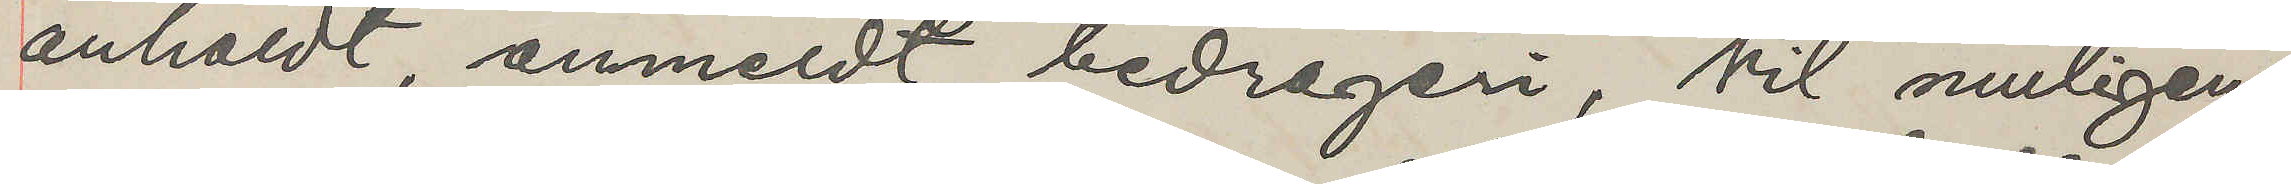anholdt, anmeldt bedrageri, Vil muligens
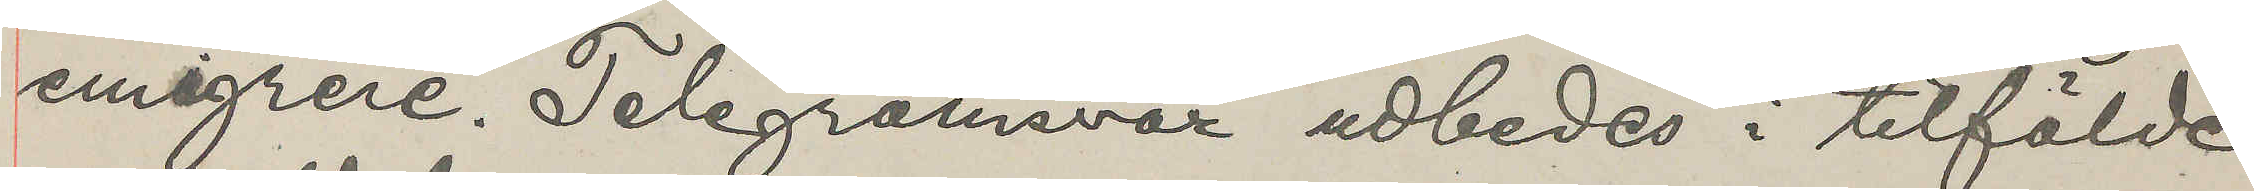emigrere. Telegramsvar udbedes i tilfälde
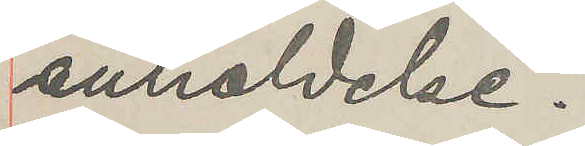anholdelse.
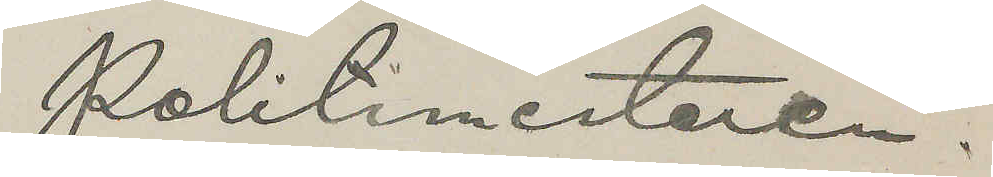Politimestaren.
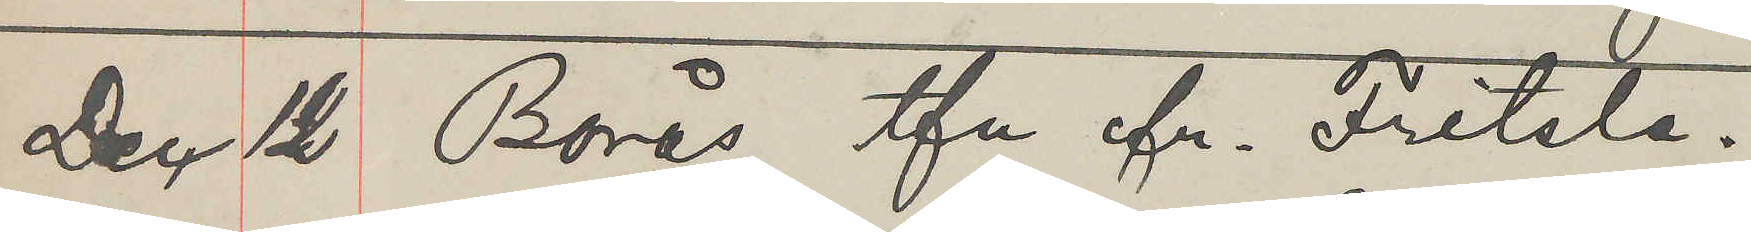Dec 12 Borås tfn fr. Fritsla.
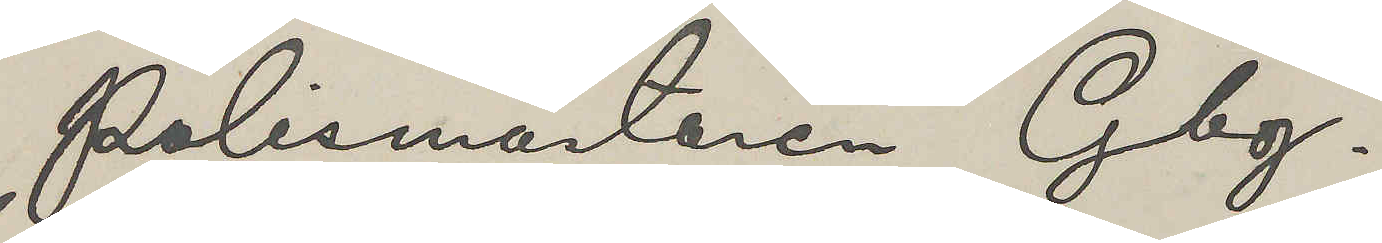Polismästaren Gbg.
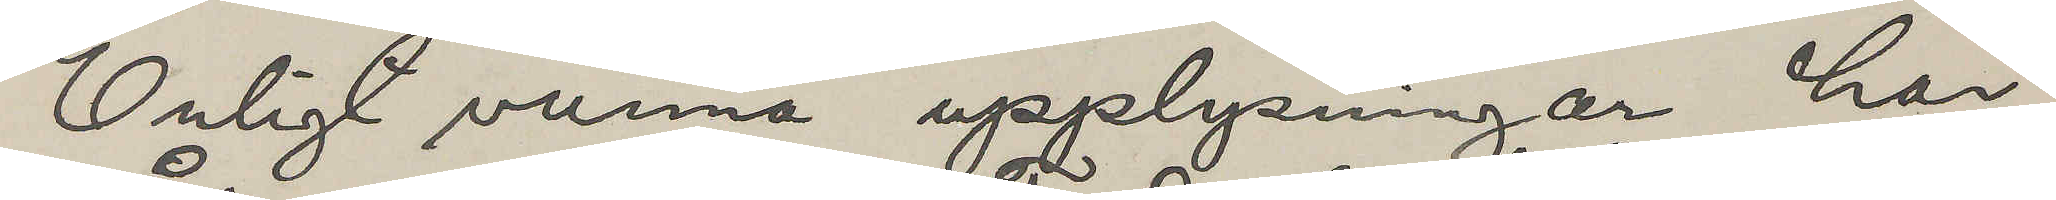Enligt vunna upplysningar har
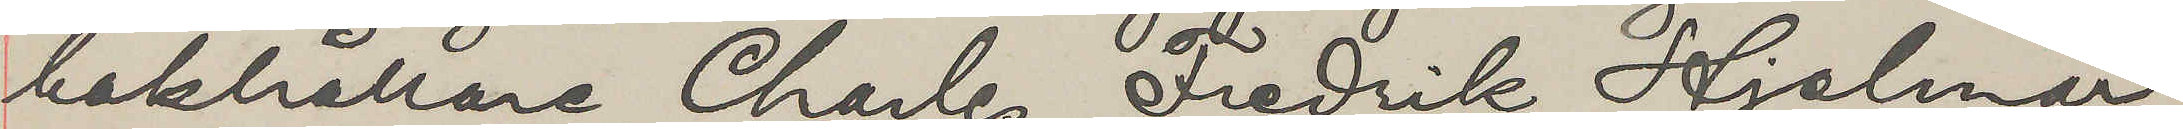bokhållare Charles Fredrik Hjalmar
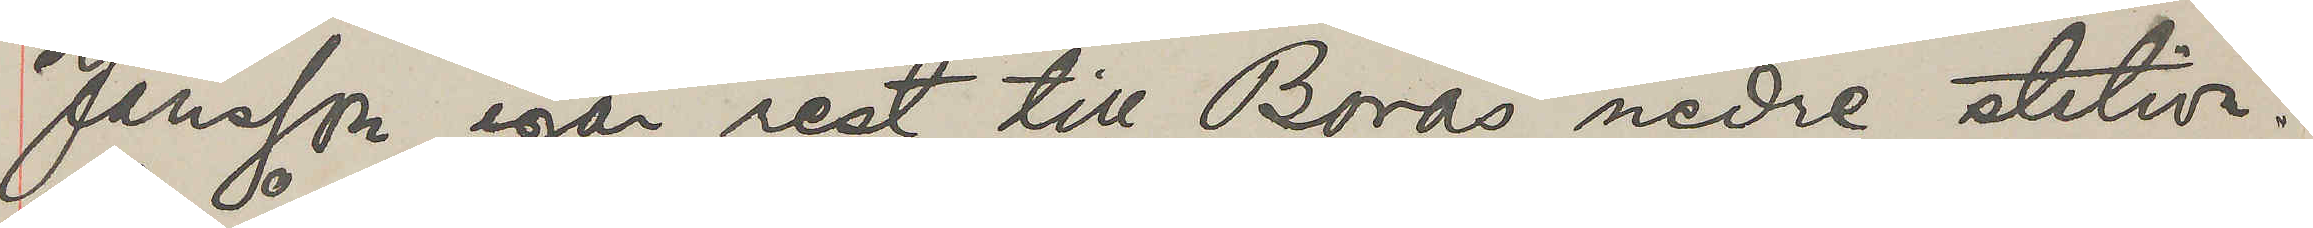Jansson igår rest till Borås nedre station.
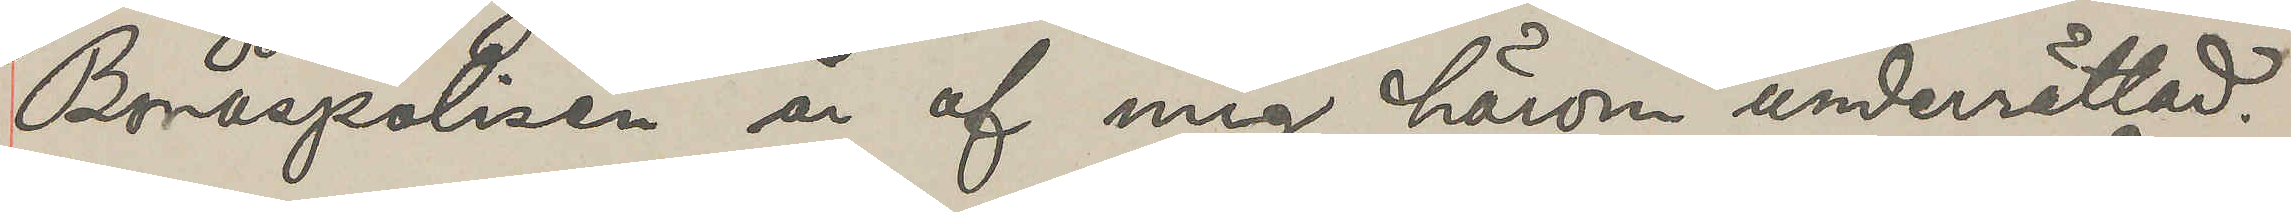Boråspolisen är af mig härom underrättad.
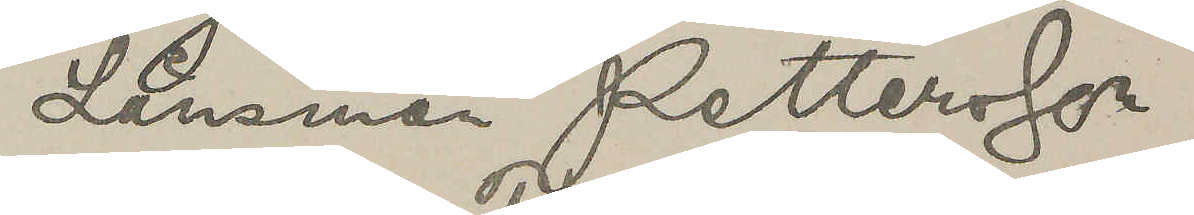Länsman Pettersson
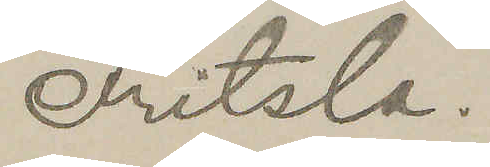Fritsla.
